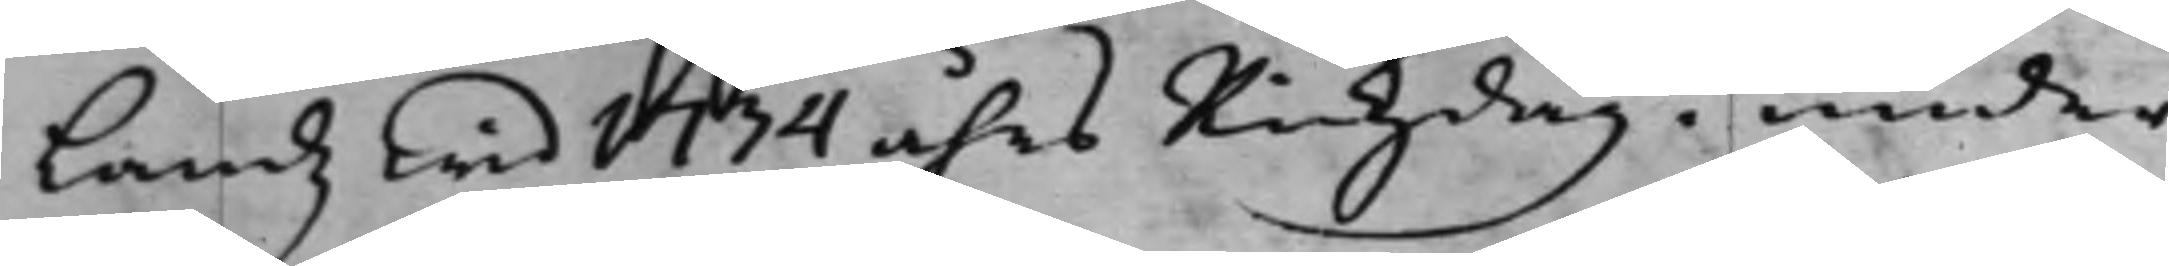Landz wid 1734 åhrs Rikzdag i under¬
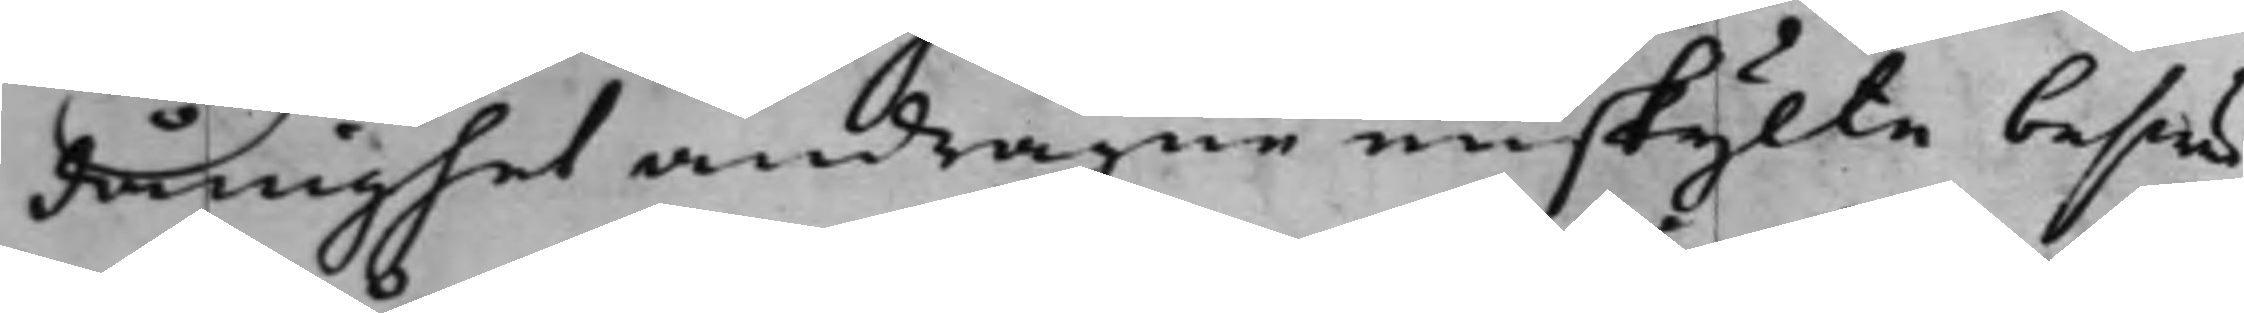dånighet andragne enskijlte beswär
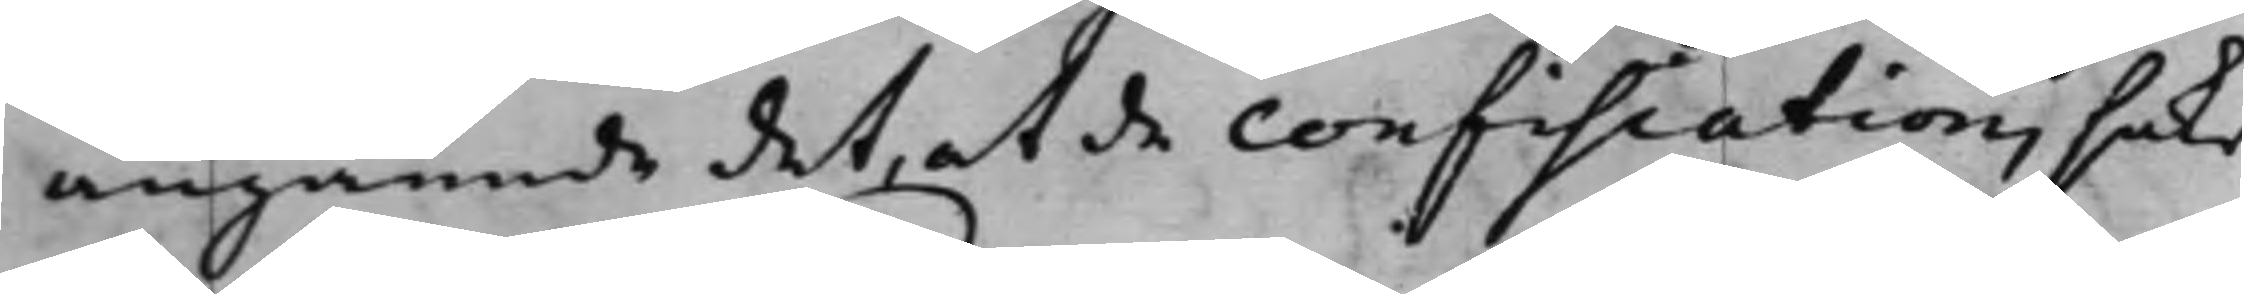angående det, at de confiscations saker
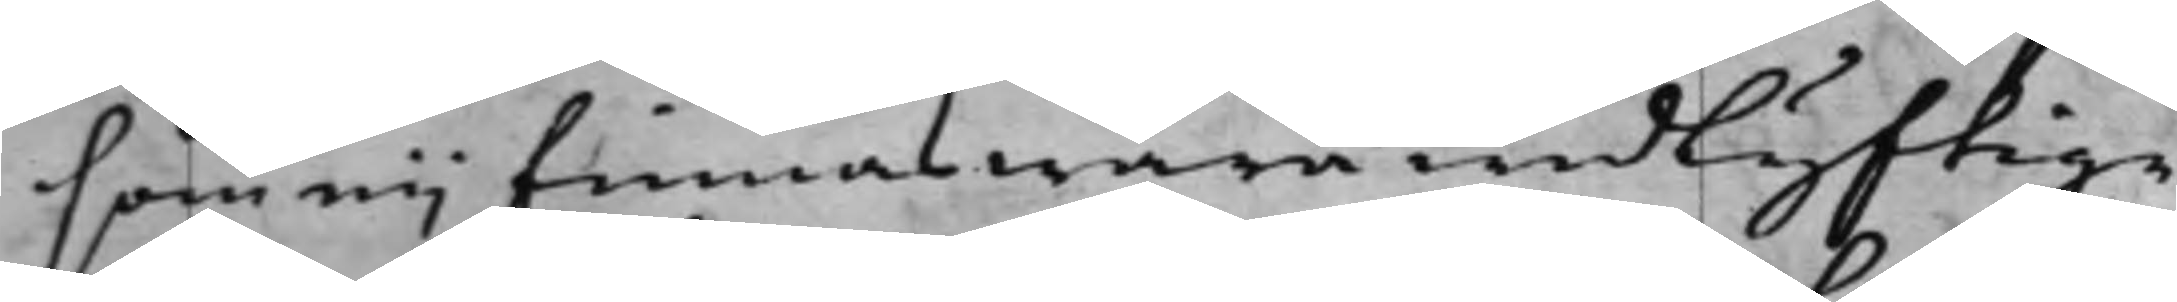som eij finnas wara widlyftige
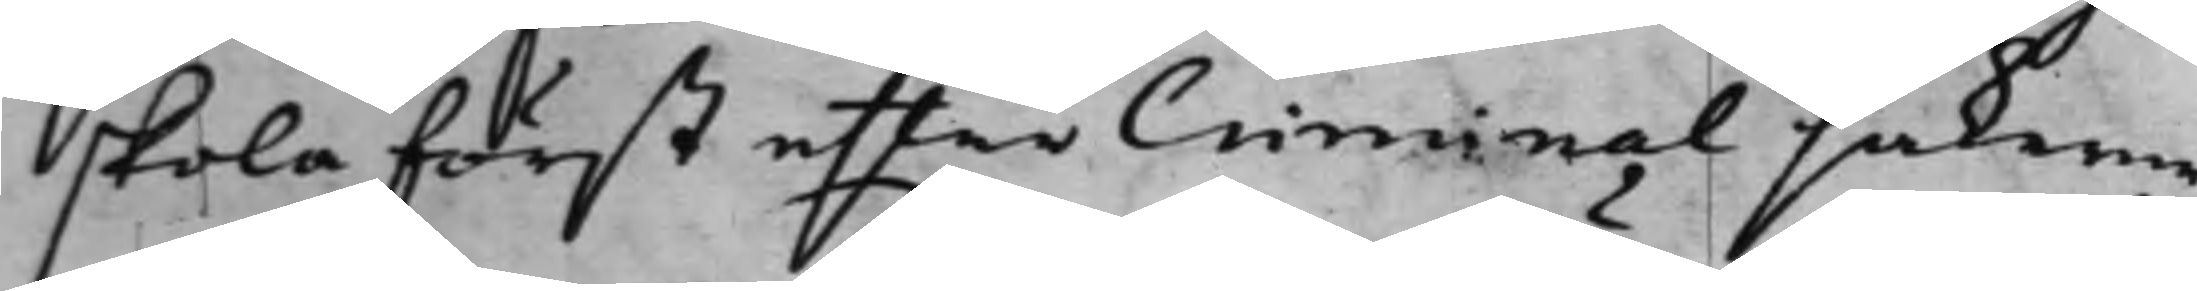skola först effter Criminal sakerne
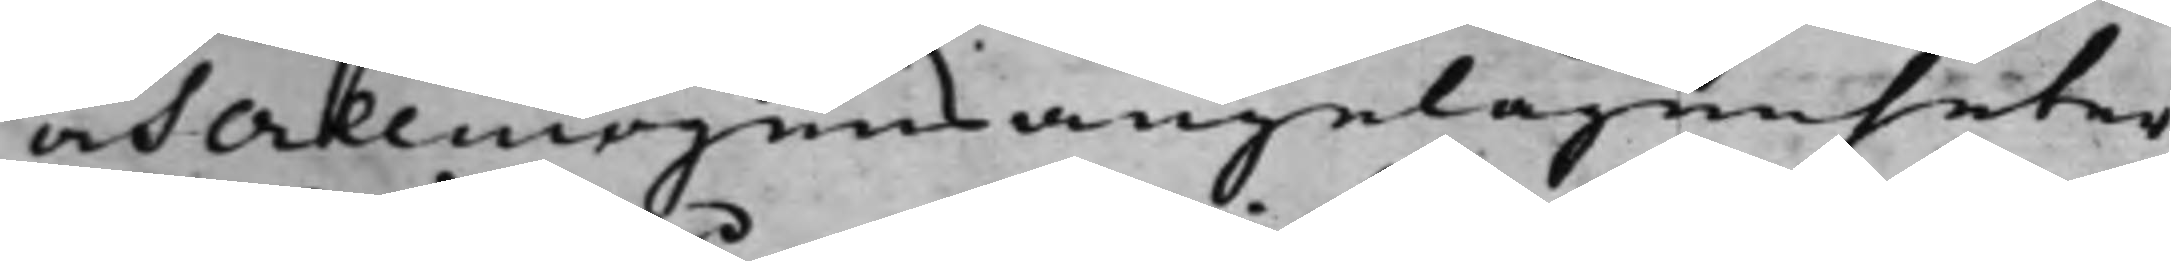och allmogens angelägenheter
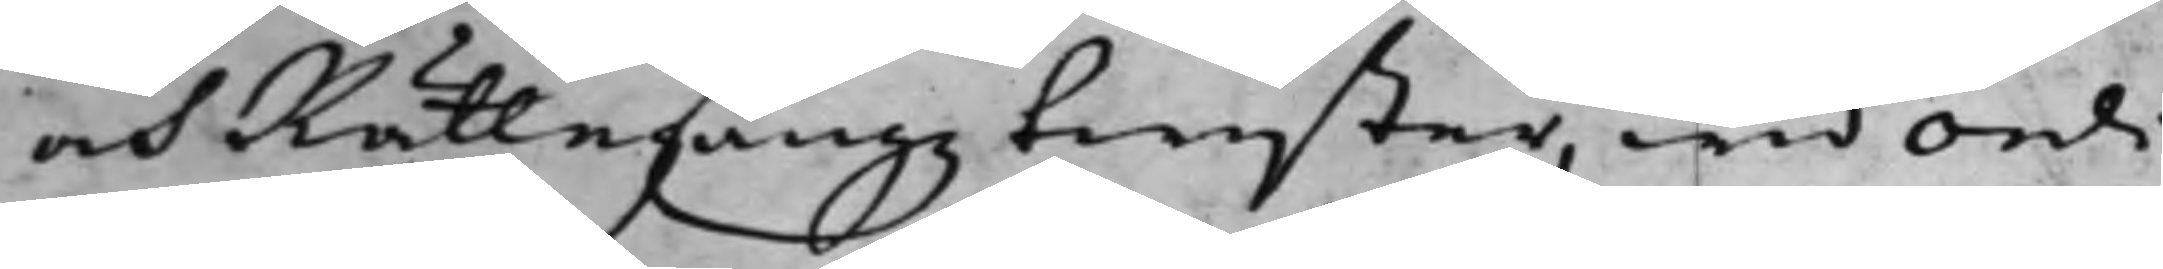och Rättegångz twister, wid ordi¬
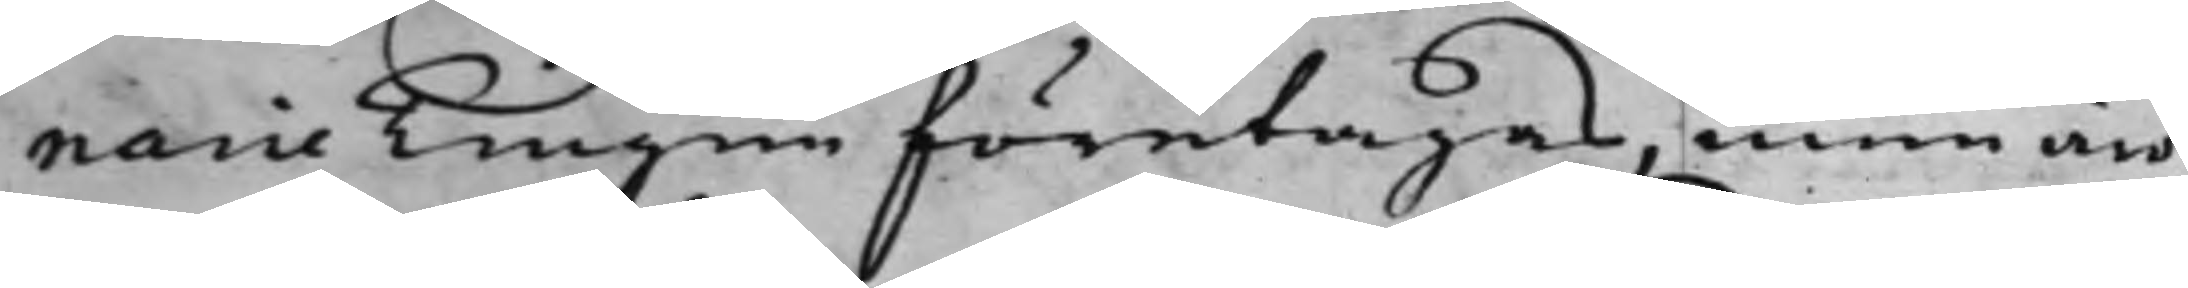narie Tingen företagas, men äro
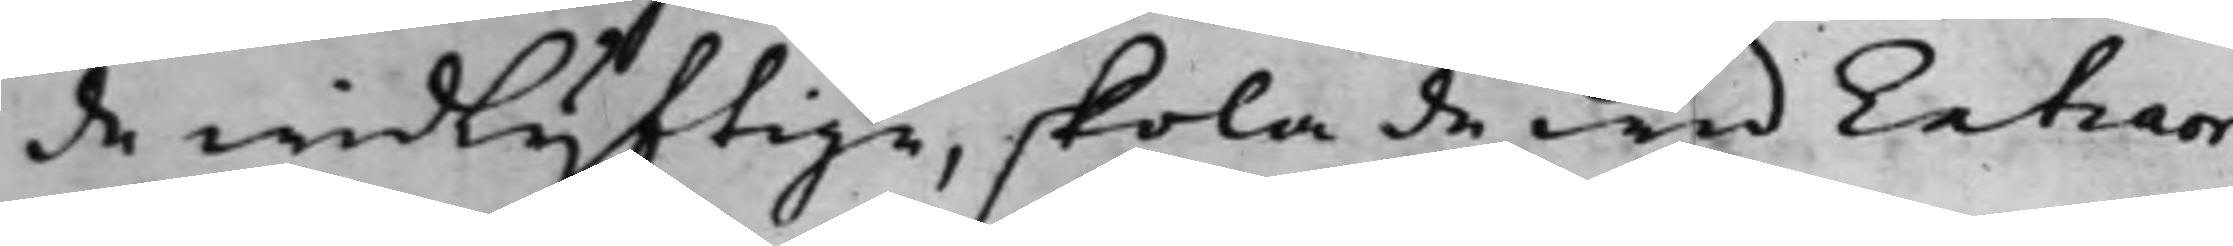de widlyftige, skola de wid Extraor¬
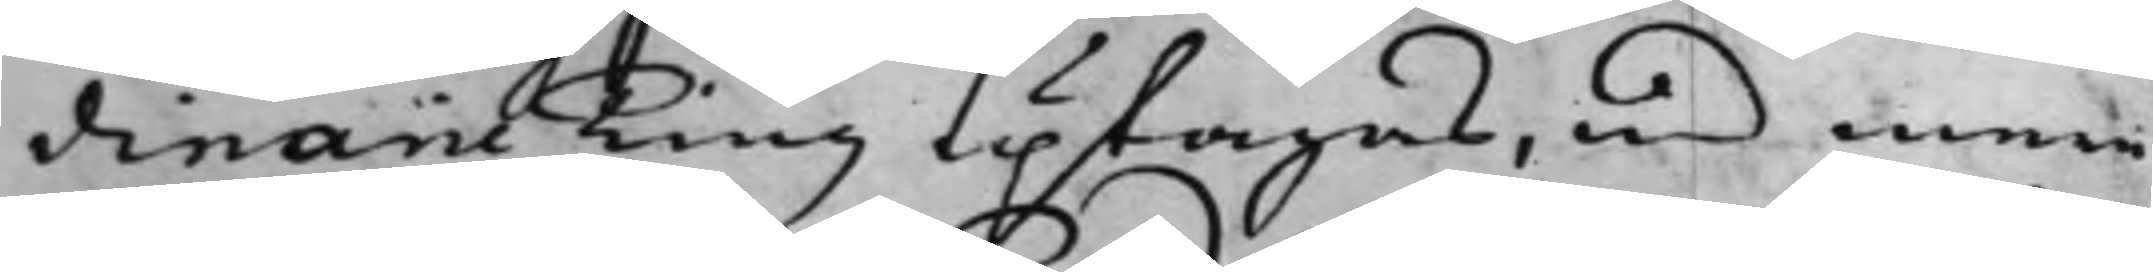dinarie Ting uptagas, med mera
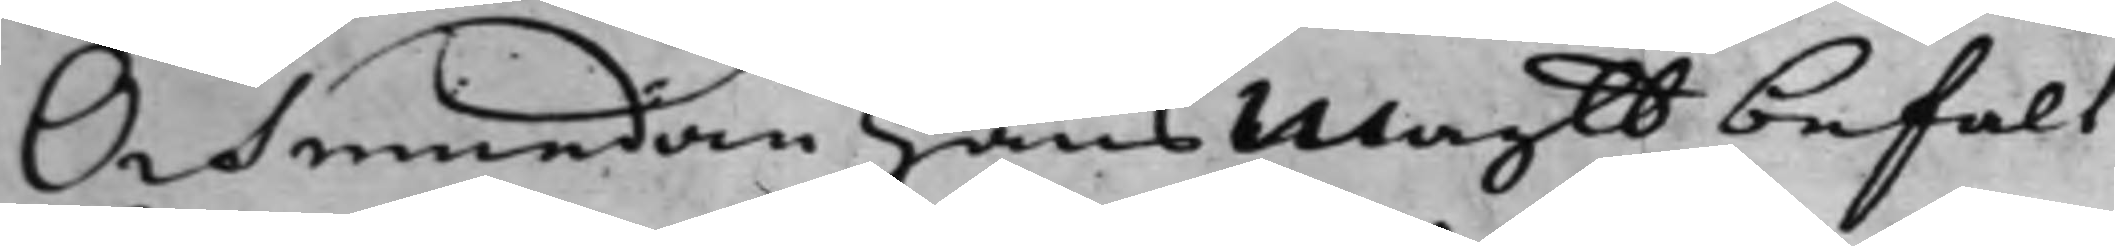Och emedan Hans Maytt befalt
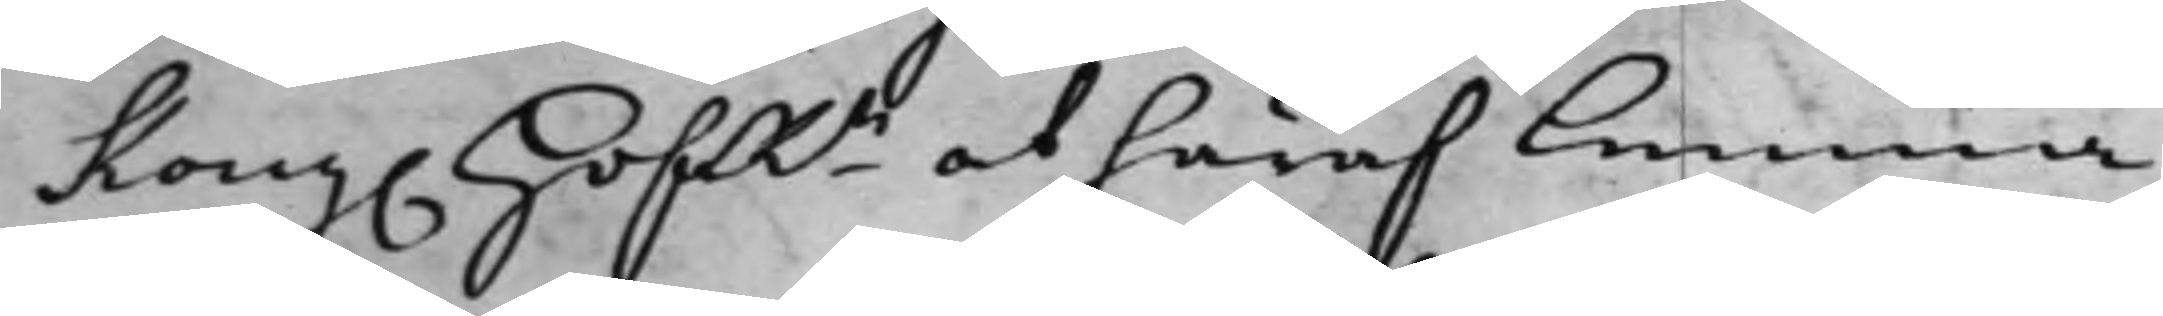Kong. HofRn at häraf lemna
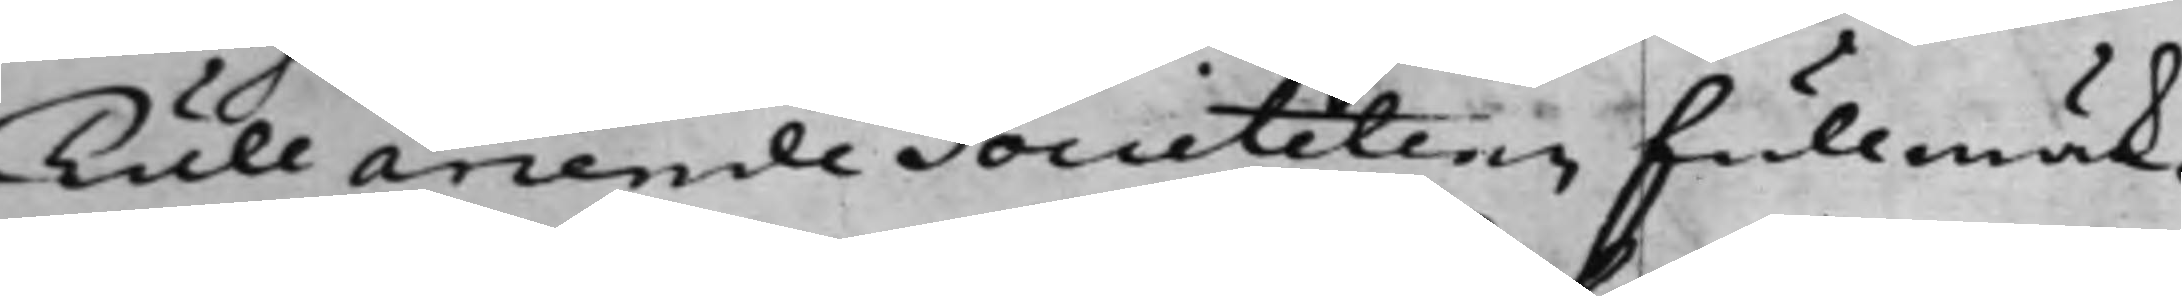Tull arren,de Societetens fullmäk¬
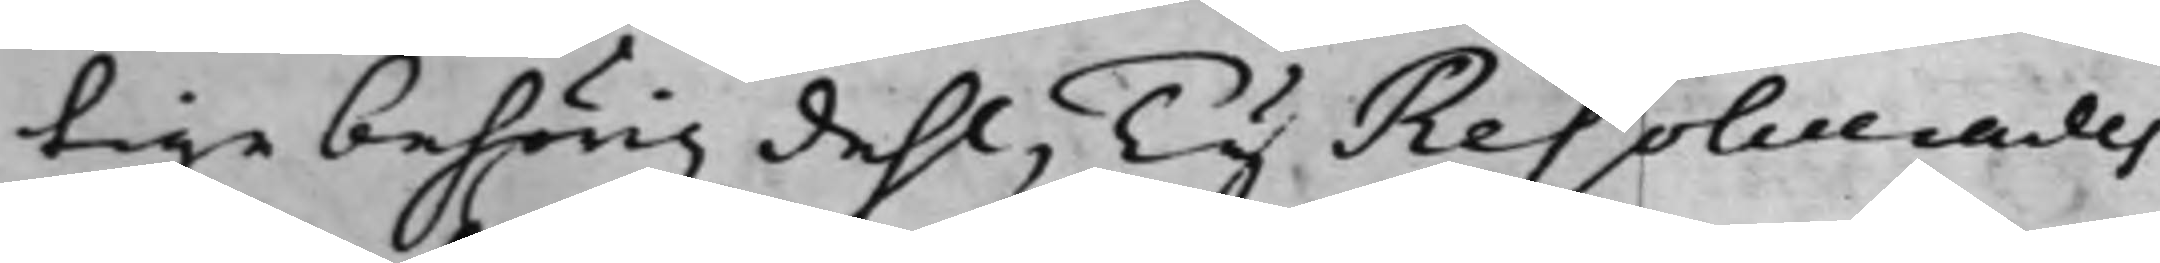tige behörig dehl, Ty Resolverades
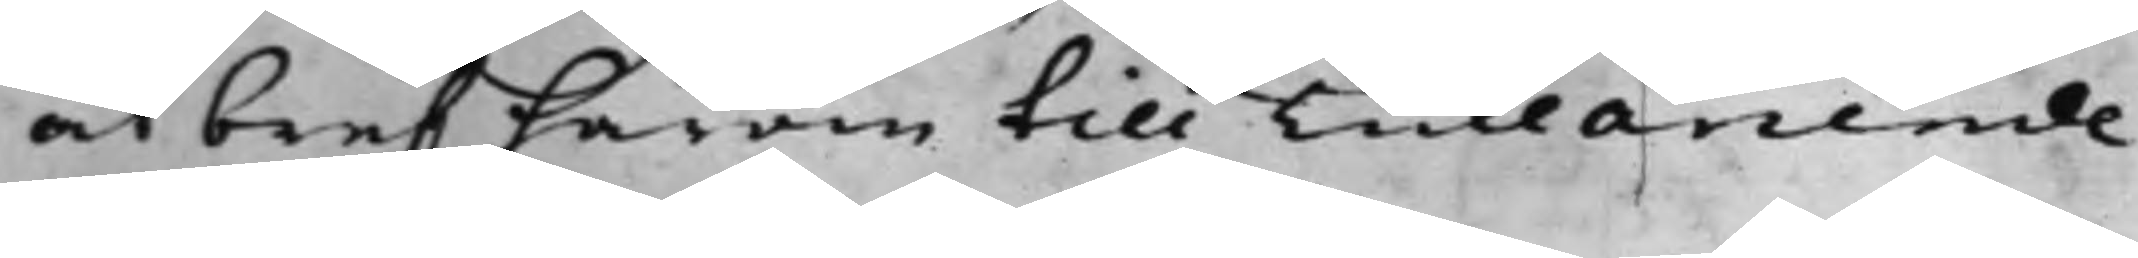at bref härom till Tullarrende
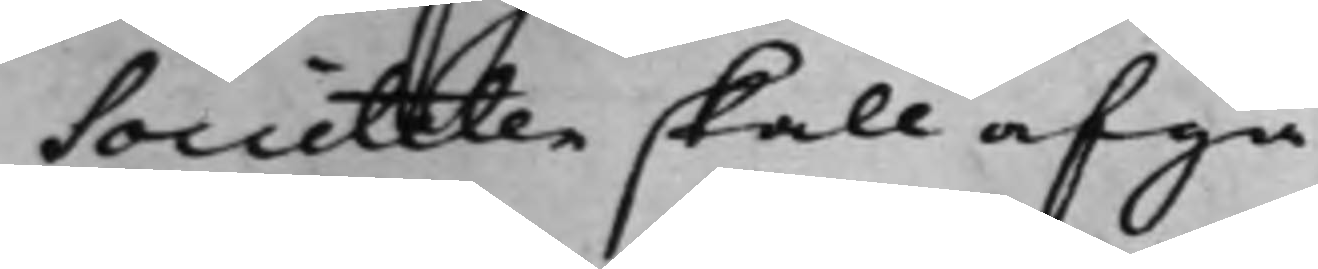Societeten skall afgå.
